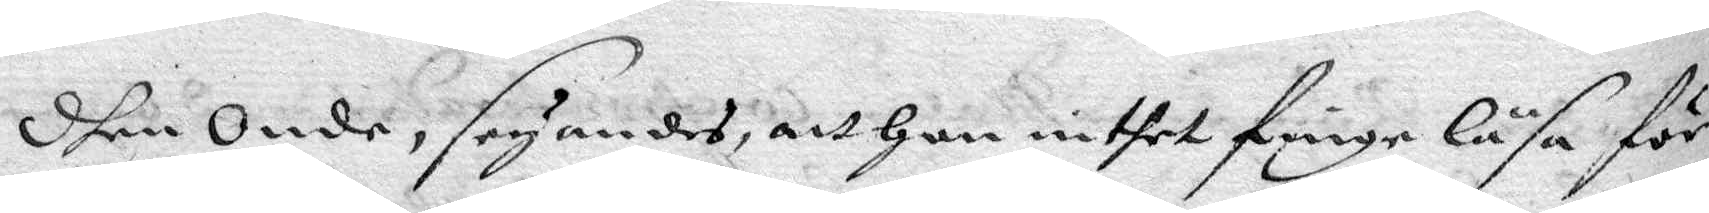dhen Onde, seyandes, att han inthet finge läsa för
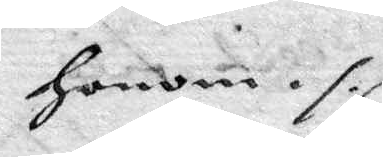honom ./.
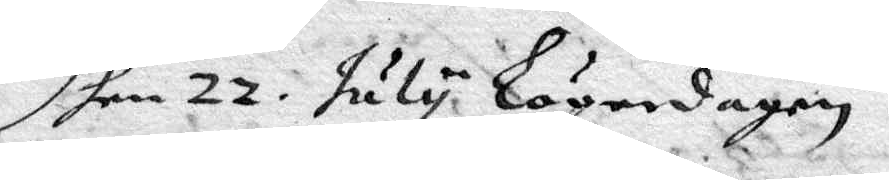Dhen 22. July Lögerdagen
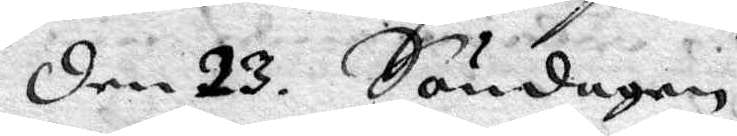Den 23. Söndagen
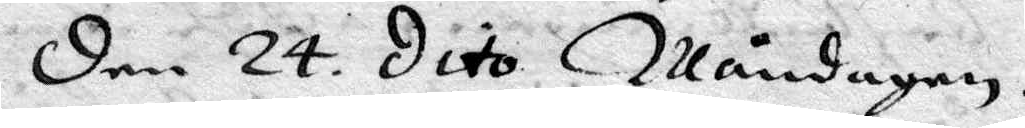Den 24. dito Måndagen.
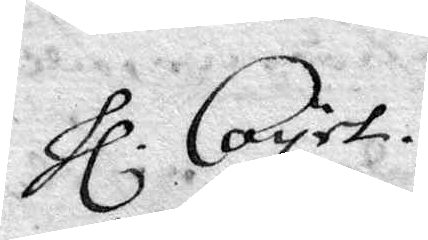Hl Coyet.
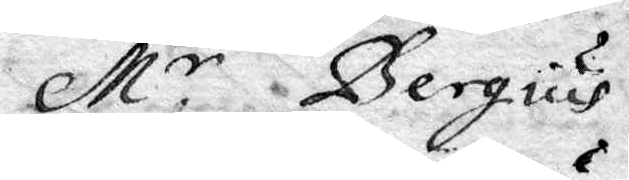Mr Bergius
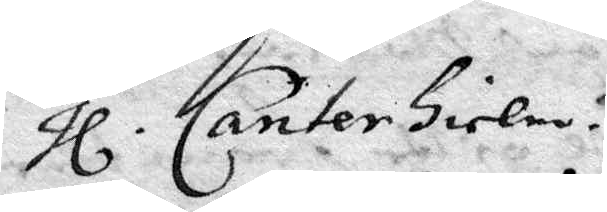Hl Canterhielm.
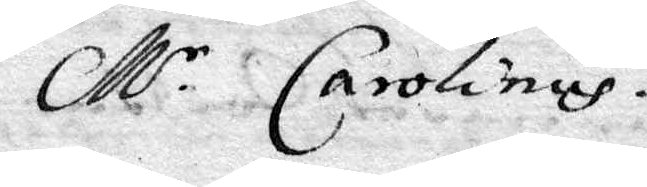Mr Carolinus
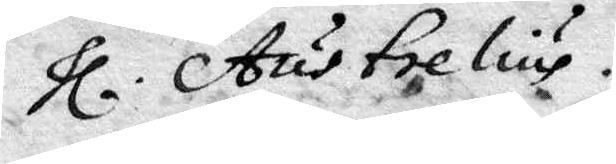Hl. Austrelius.
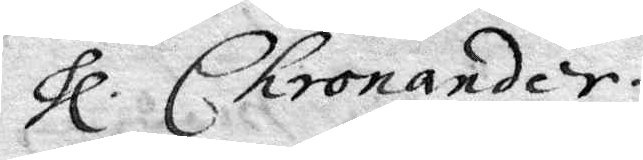Hl Chronander.
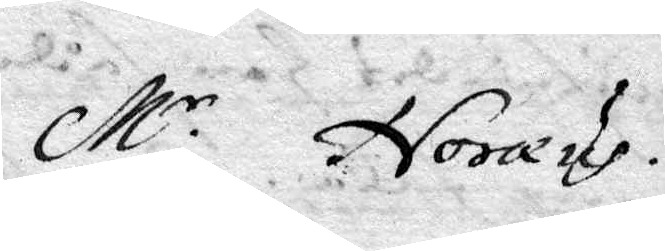Mr Noræus.
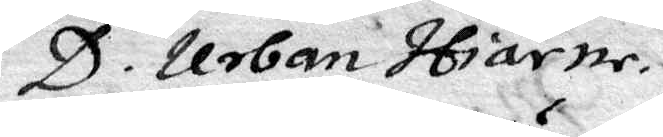D. Urban Hiärne
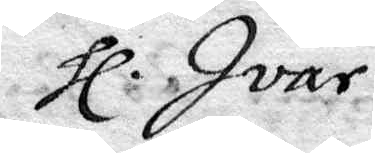Hl Ivar
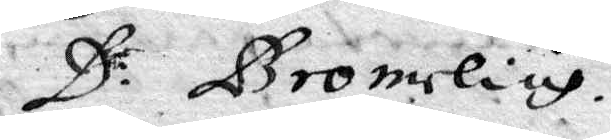D: Bromelius.
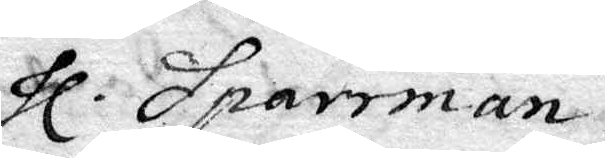Hl Sparrman.
